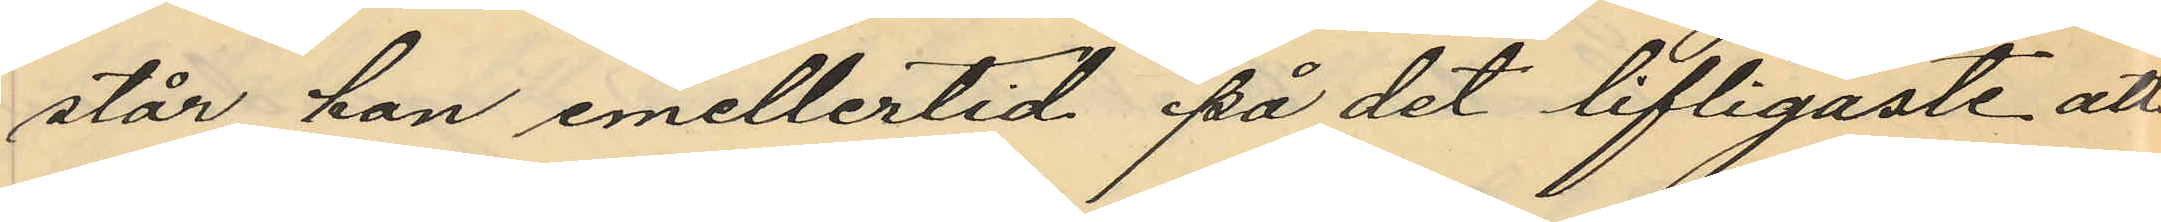står han emellertid på det lifligaste att
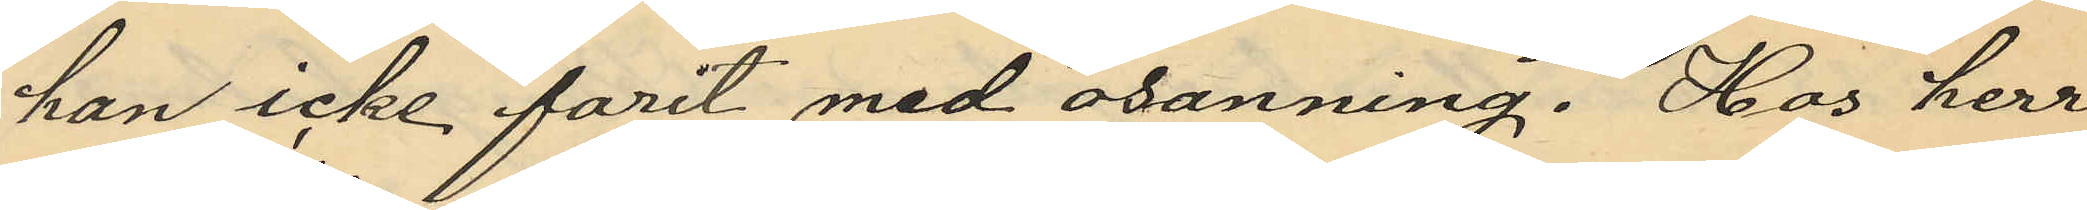han icke farit med osanning. Hos herr
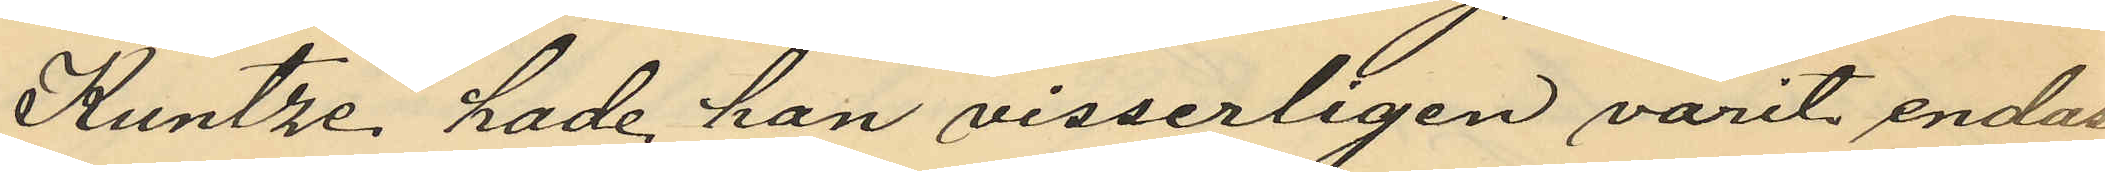Kuntze hade han visserligen varit endast
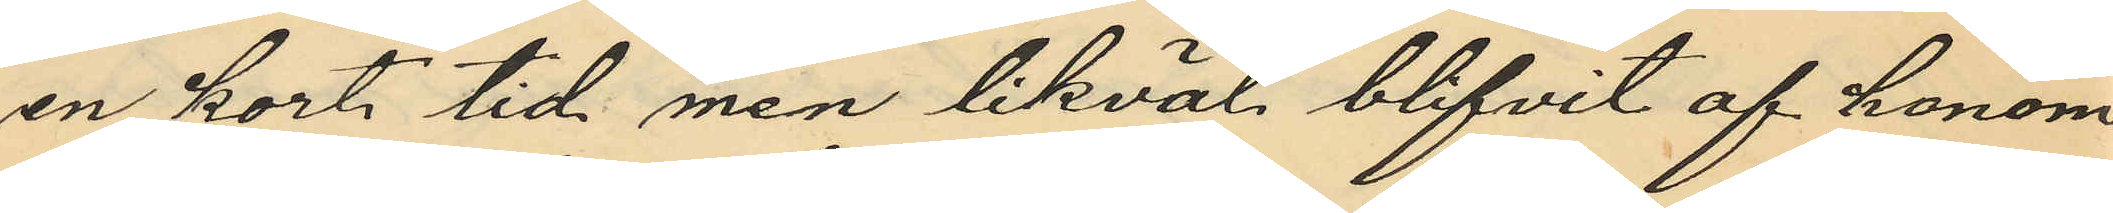en kort tid men likväl blifvit af honom
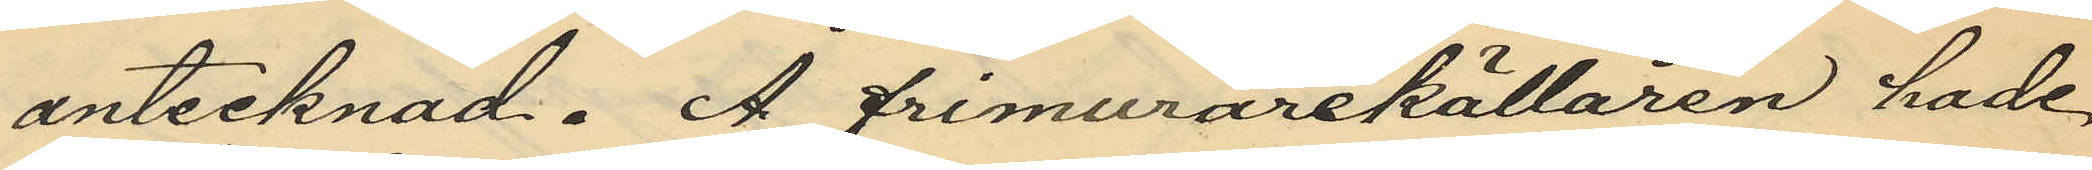antecknad. Å frimurarekällaren hade
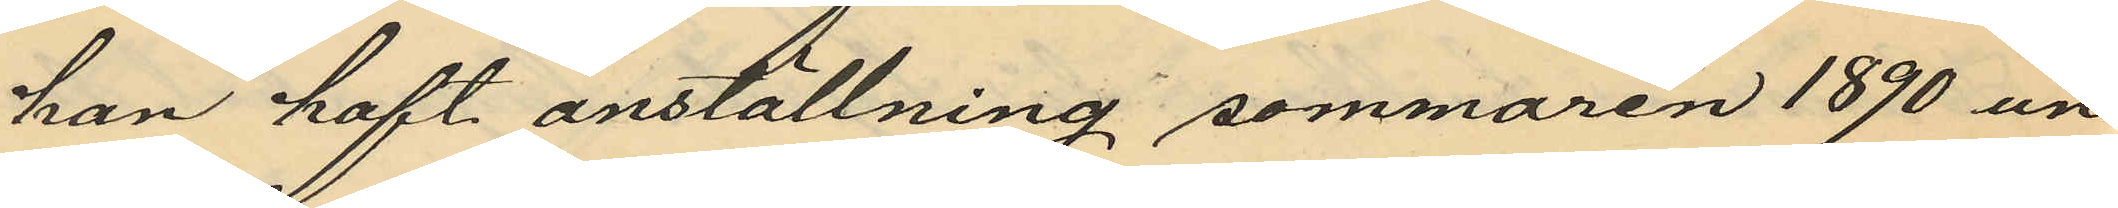han haft anställning sommaren 1890 un¬
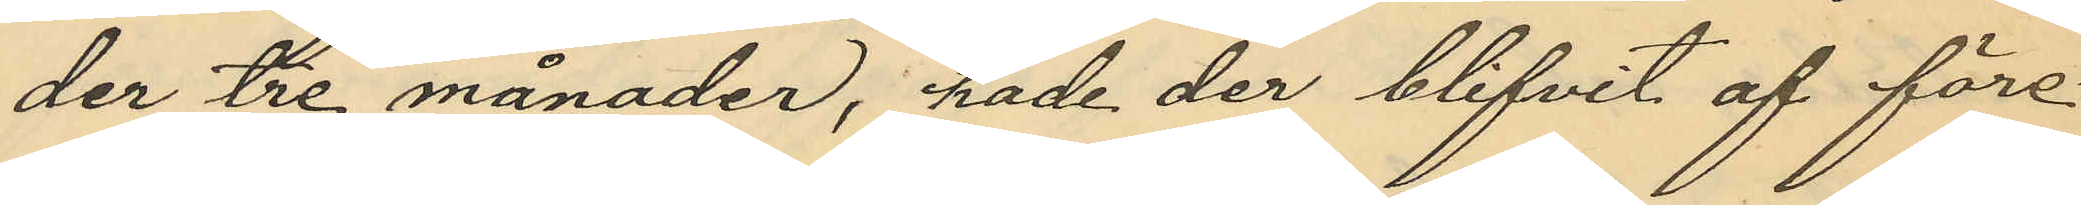der tre månader, hade der blifvit af före¬
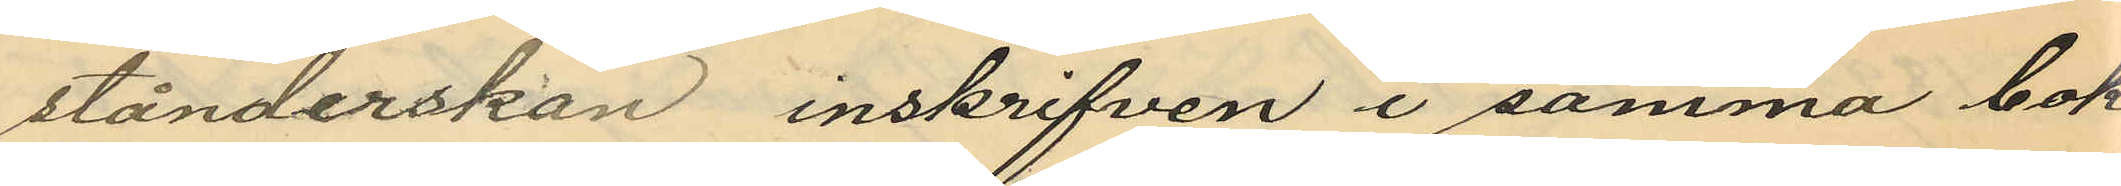stånderskan inskrifven i samma bok
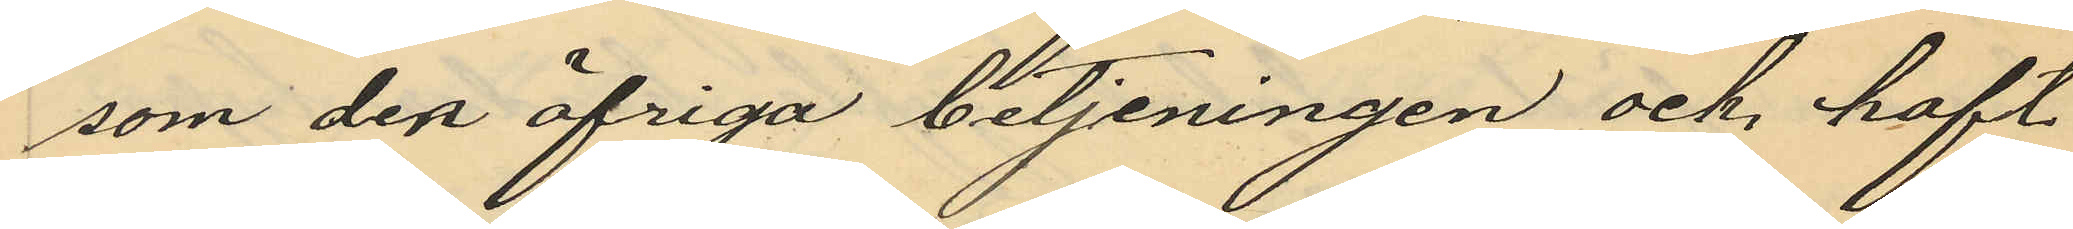som den öfriga betjeningen och haft
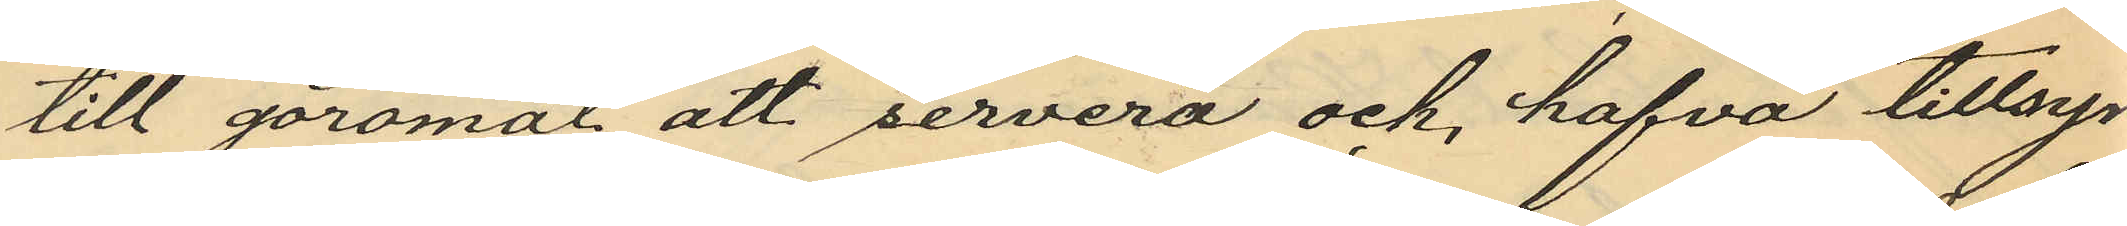till göromål att servera och hafva tillsyn
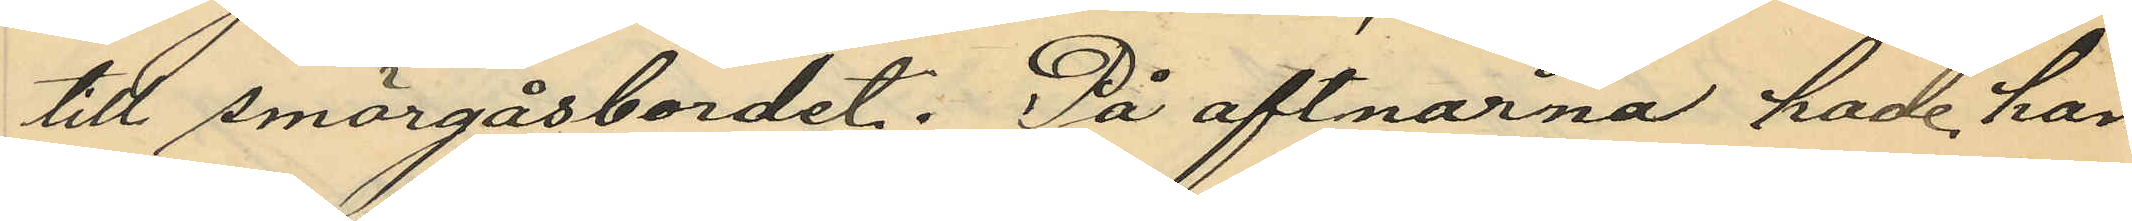till smörgåsbordet. På aftnarna hade han
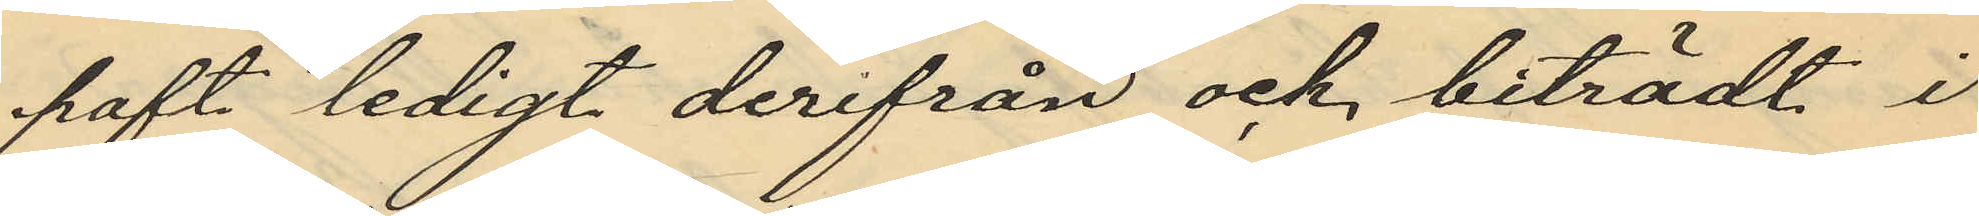haft ledigt derifrån och biträdt i
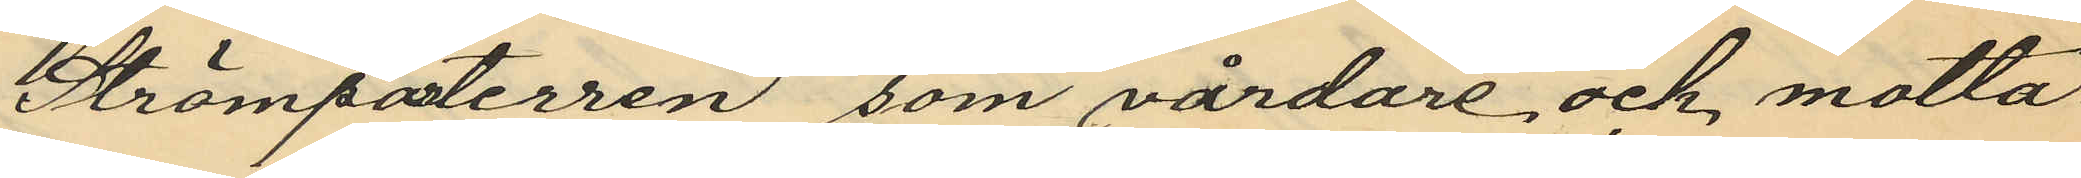Strömparterren som vårdare och motta¬
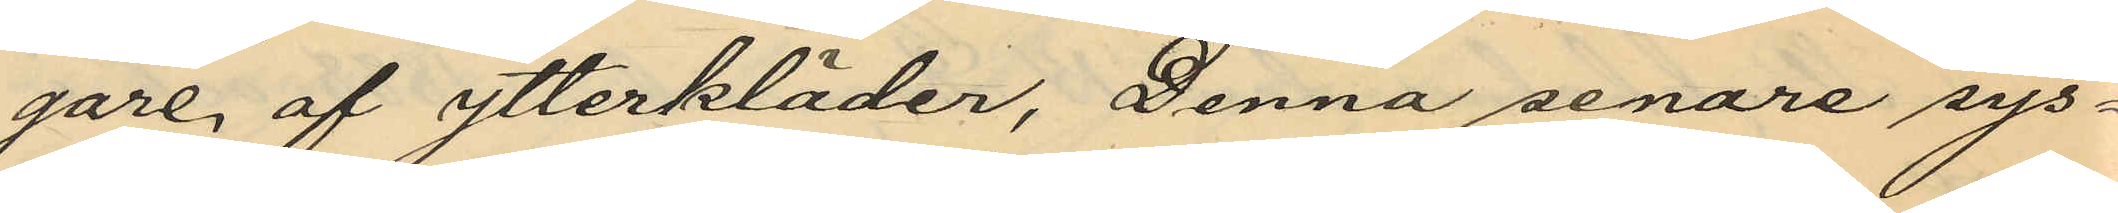gare af ytterkläder, Denna senare sys¬
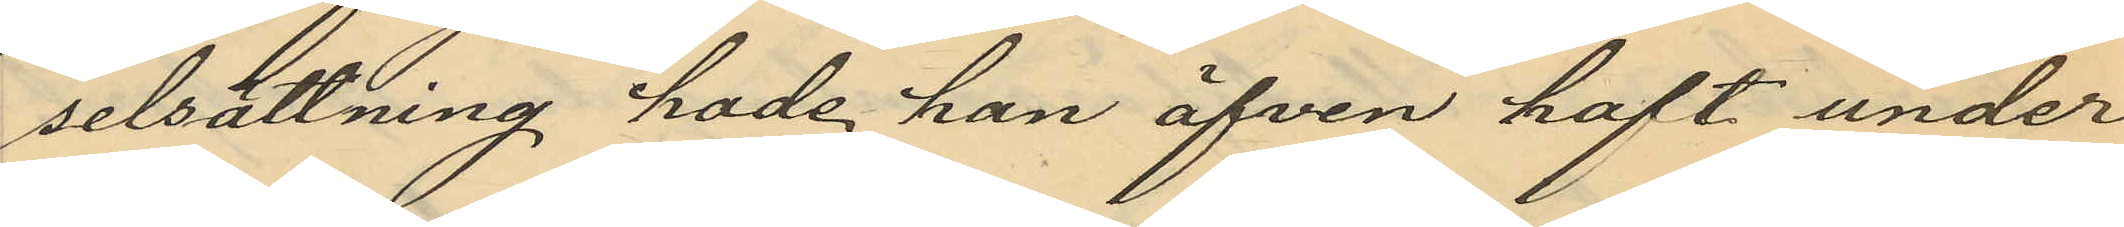selsättning hade han äfven haft under
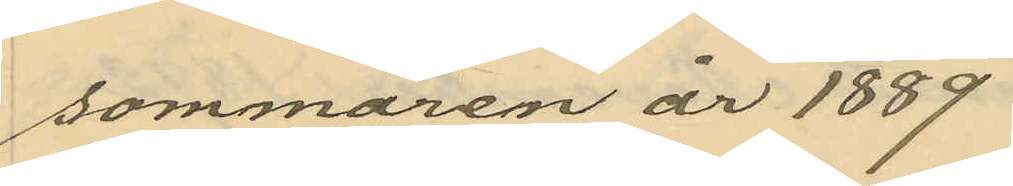sommaren år 1889
